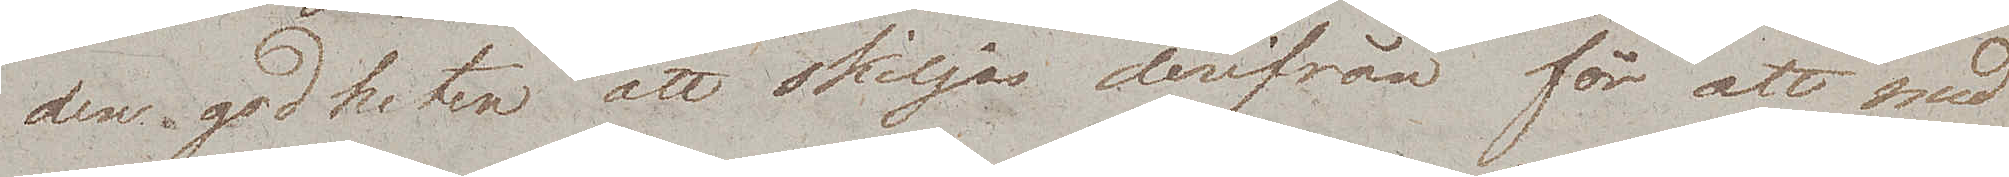den godheten att skiljas derifrån för att med
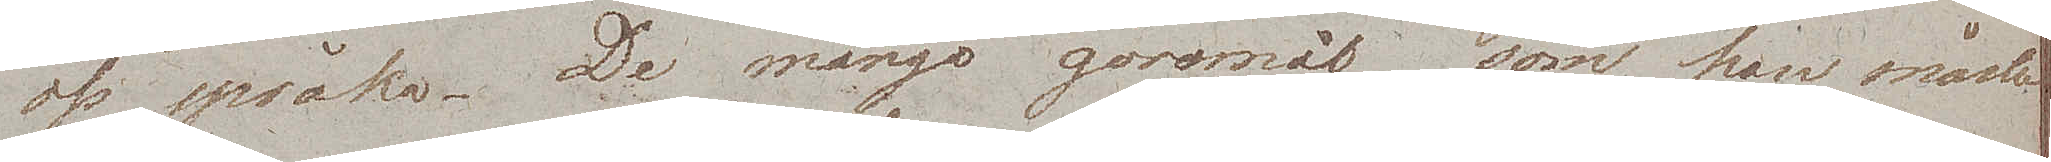oss språka. De många göromål som han måste
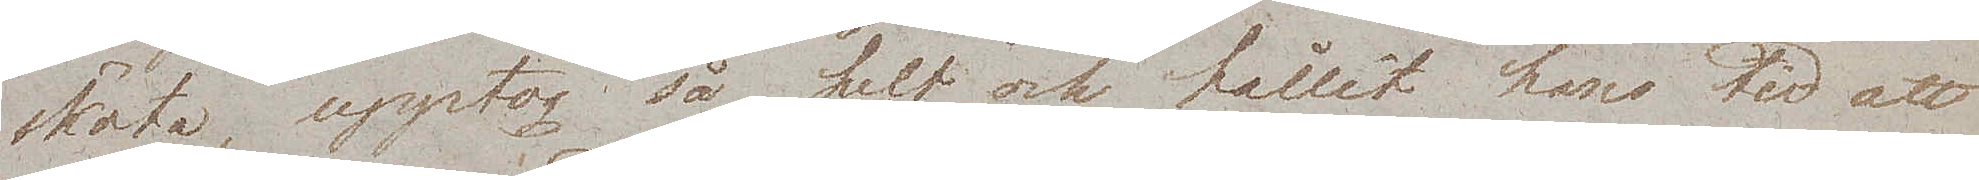sköta, upptog så helt och hållet hans tid att
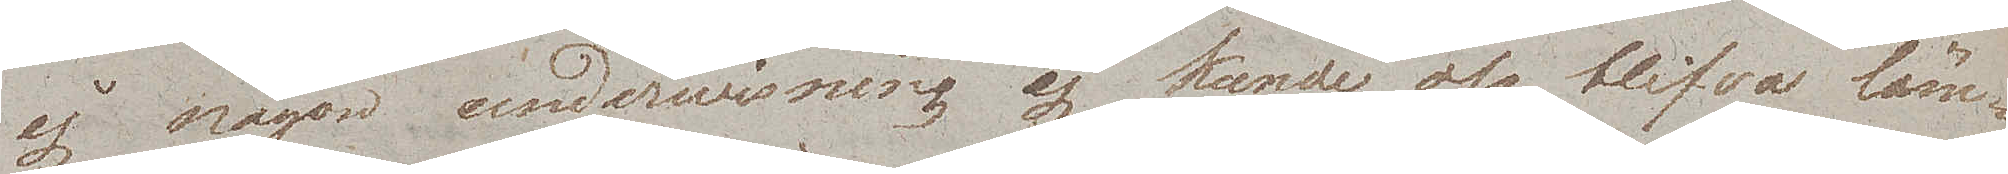ej någon underwisning ej kunde oss blifva läm¬
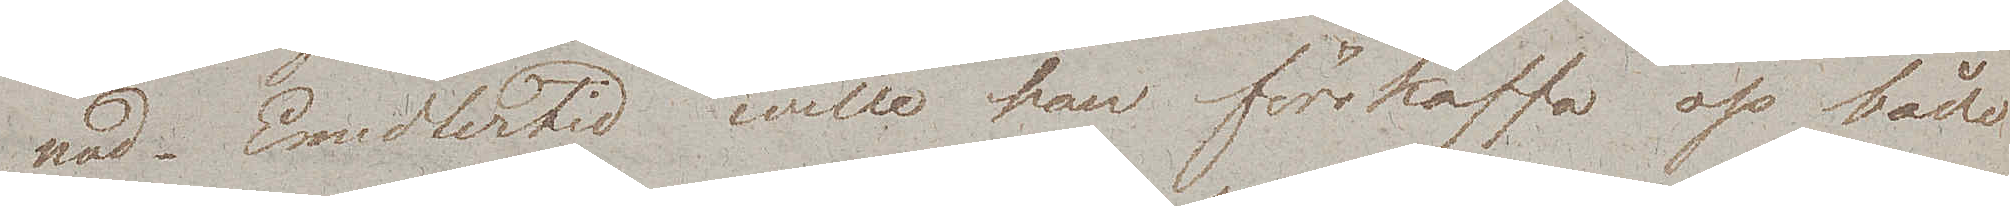nad. Emedlertid wille han förskaffa oss både
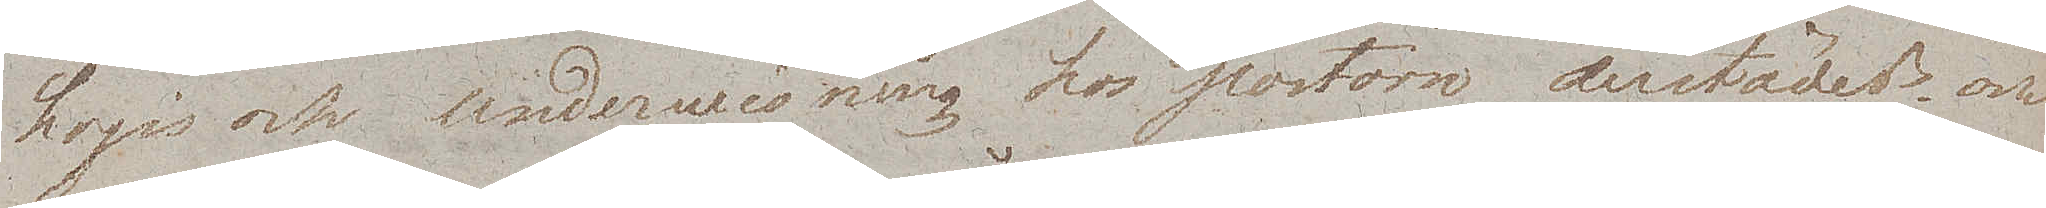Logis och underwisning hos pastorn derstädes och
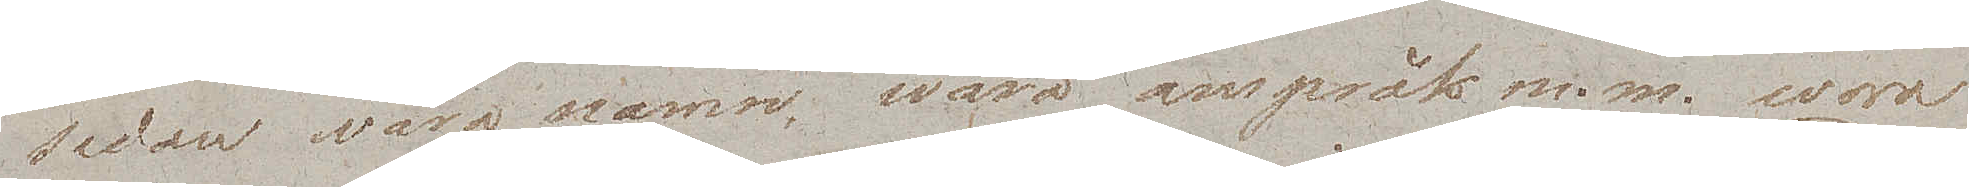sedan våra namn, wåra anspråk m.m. woro
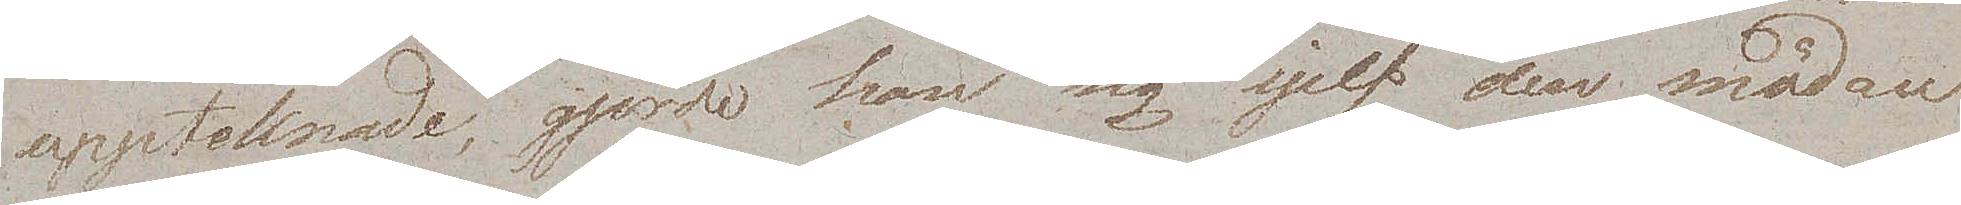uppteknade, gjorde han sig sjelf den mödan
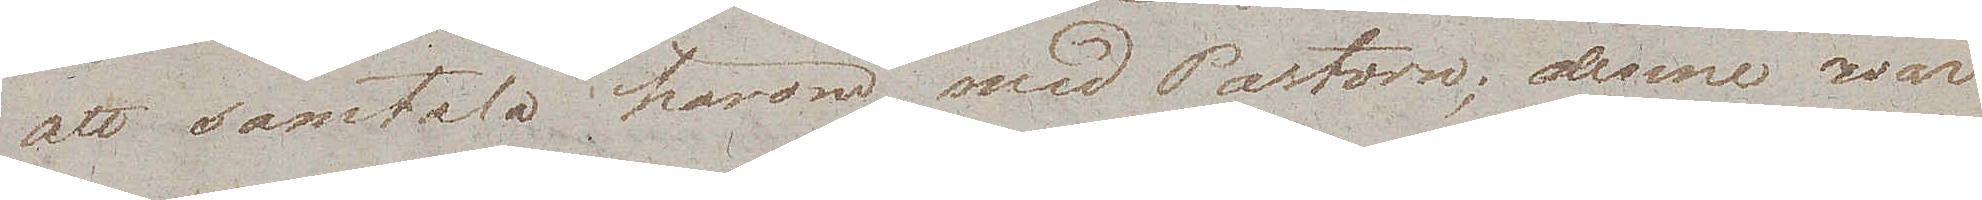att samtala härom med Pastorn; denne var
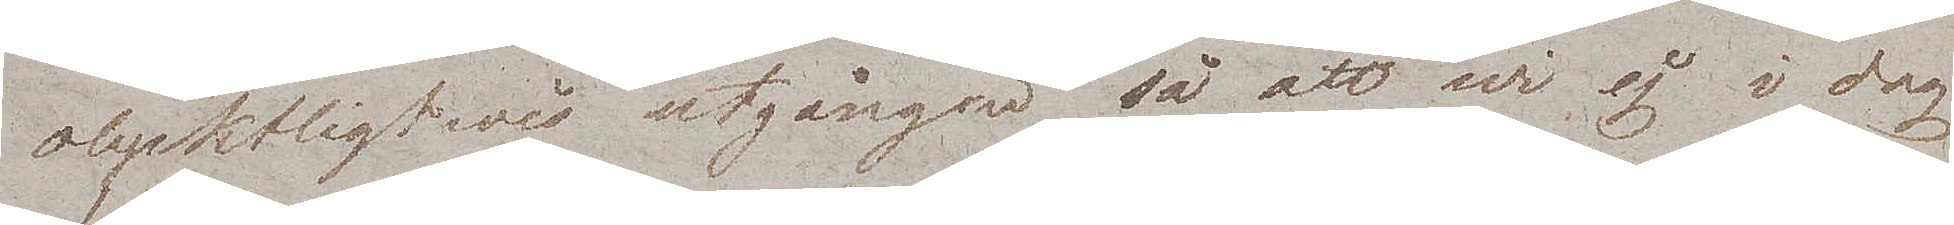olycktligtwis utgången så att wi ej i dag
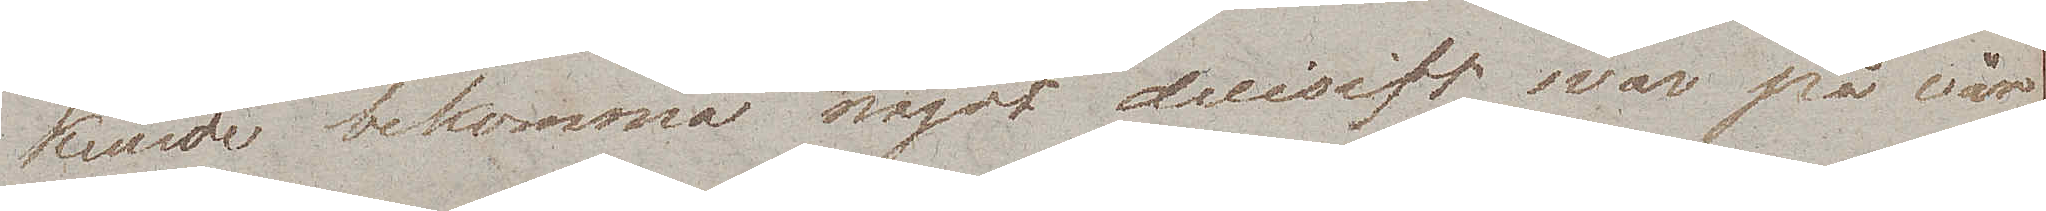kunde bekomma något decisift svar på vår
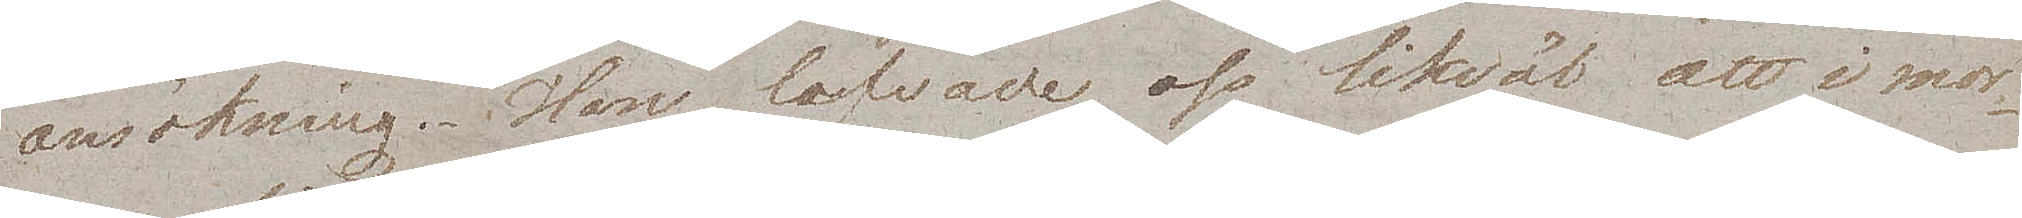ansökning. Han lofvade oss likväl att i mor¬
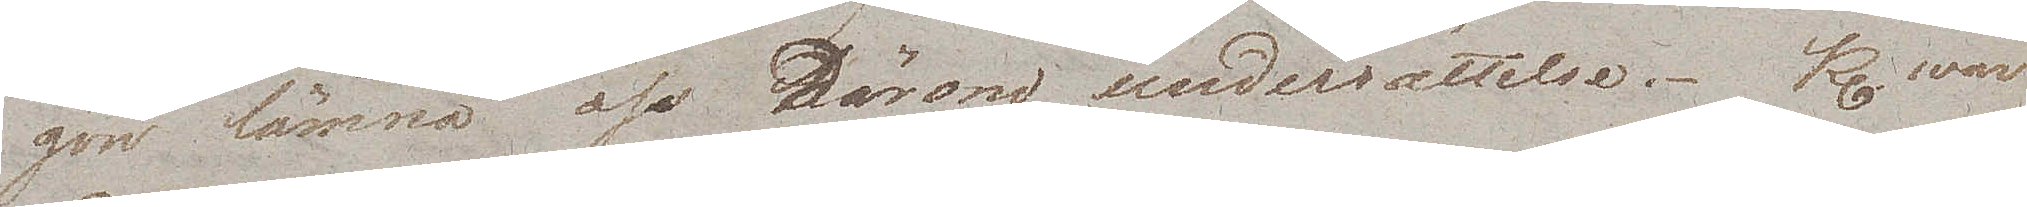gon lämna oss härom undersättelse. Kl. war
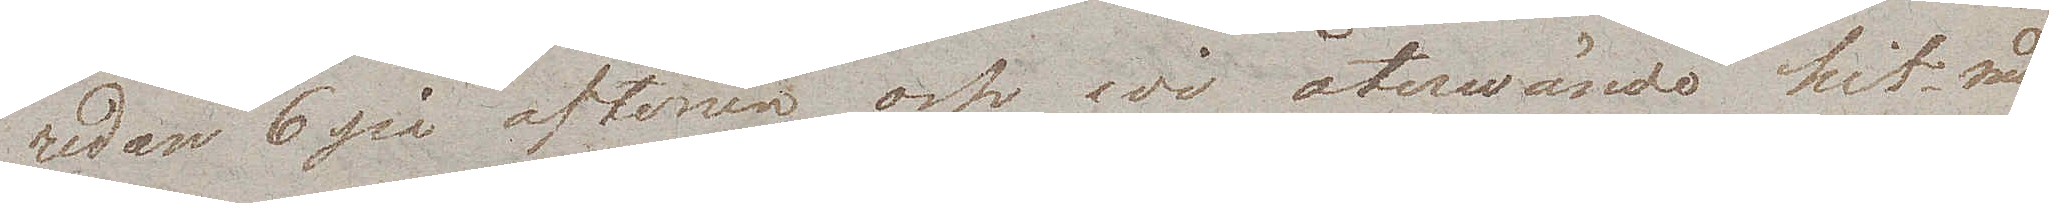redan 6 på aftonen och wi återwände hit med
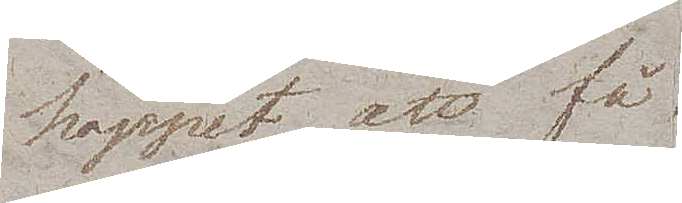hoppet att få
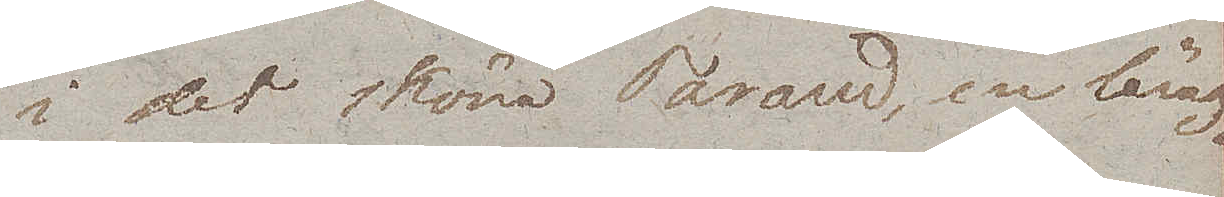i det sköna Tarand, en läng¬
